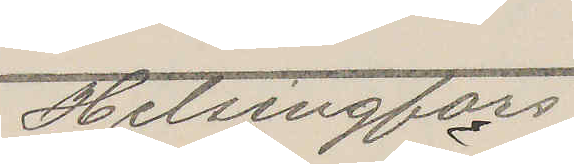Helsingfors
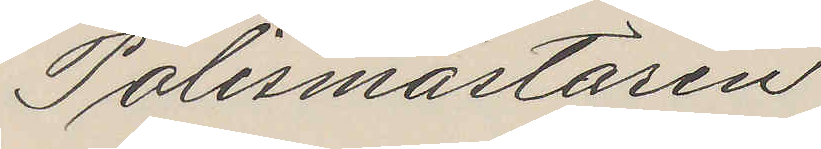Polismästaren
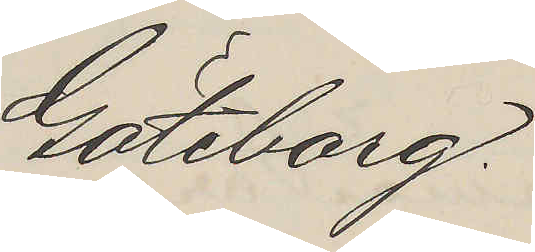Göteborg.
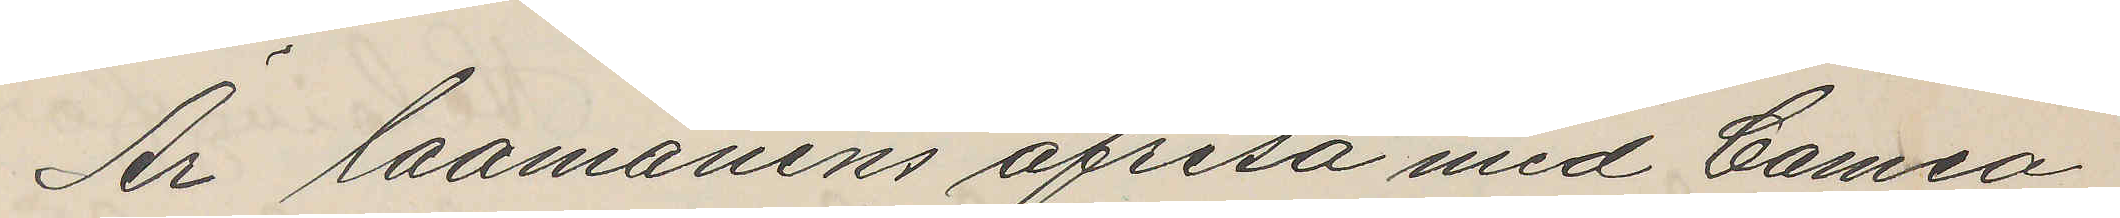Är laamanens afresa med Cameo
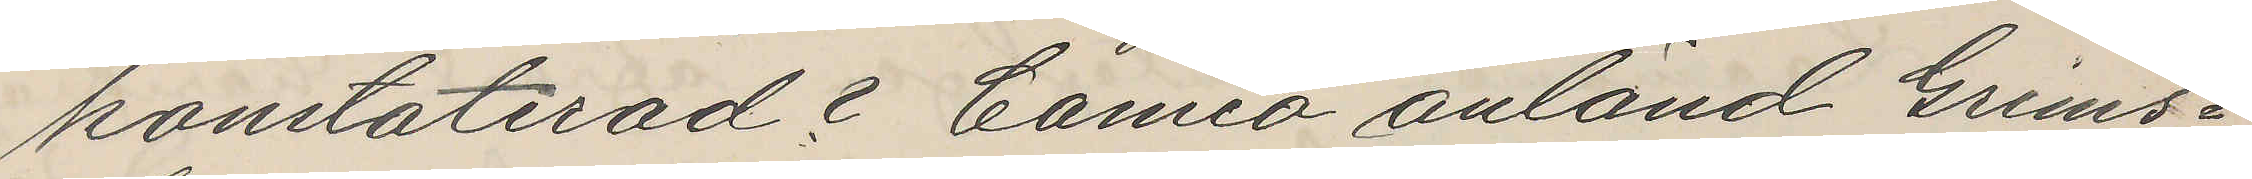konstaterad? Cameo anländ Grims¬
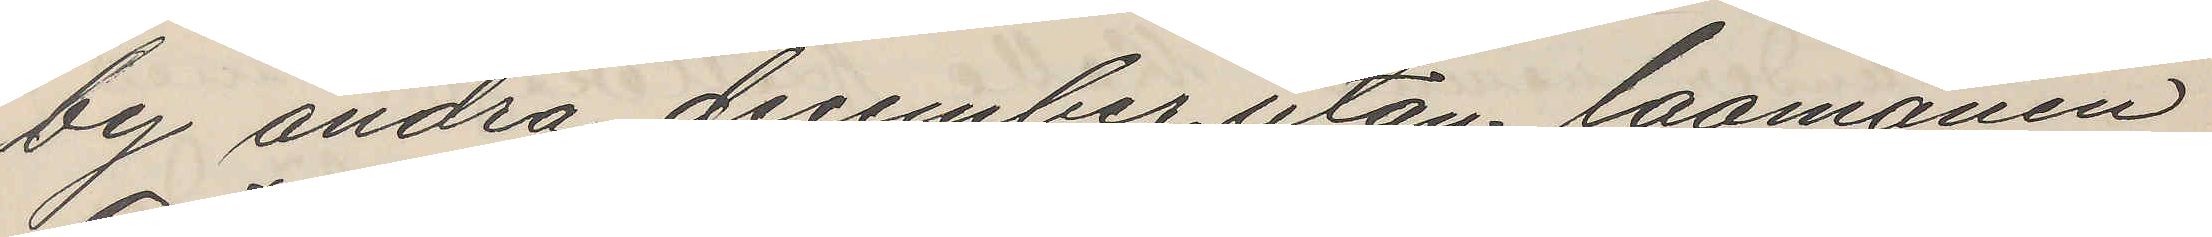by andra december utan laamanen
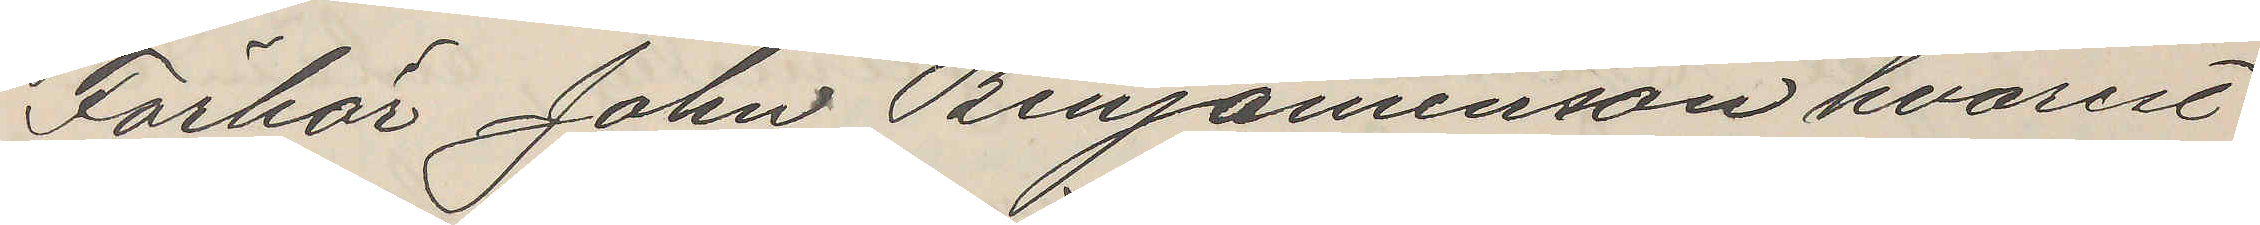Förhör John Benjaminson hvarest
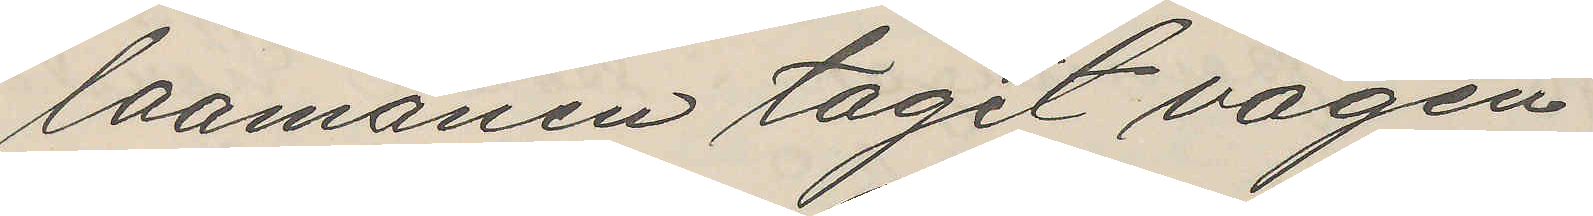laamanen tagit vägen
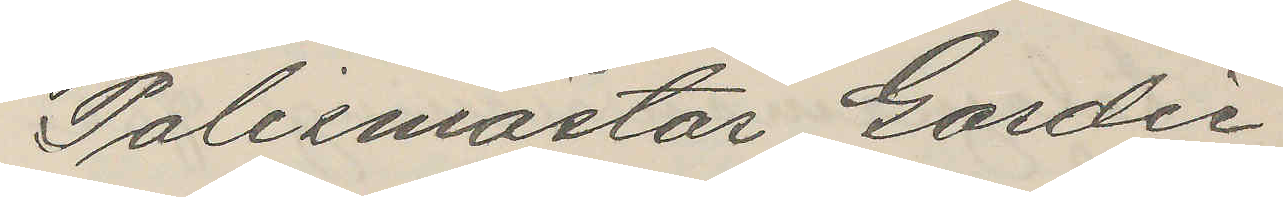Polismästar Gordie
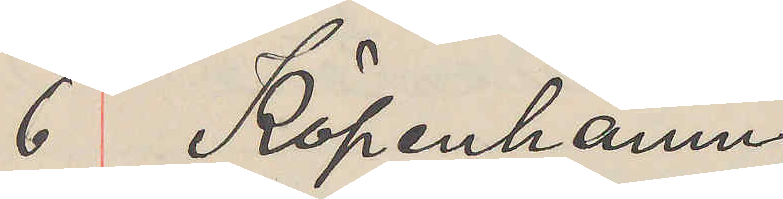6 Köpenhamn
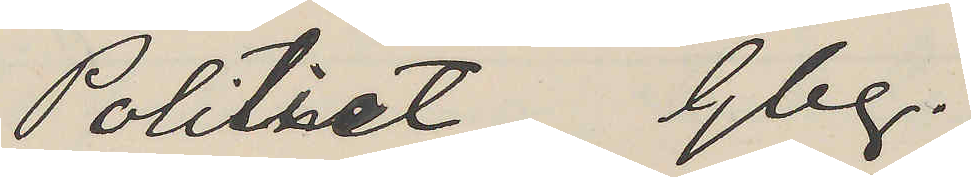Politiet Gbg.
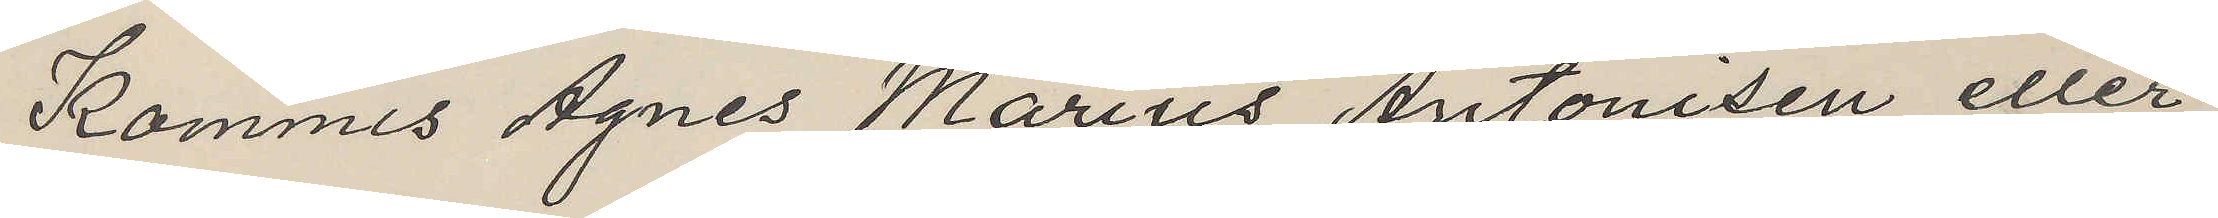Kommis Agnes Marius Antonisen eller
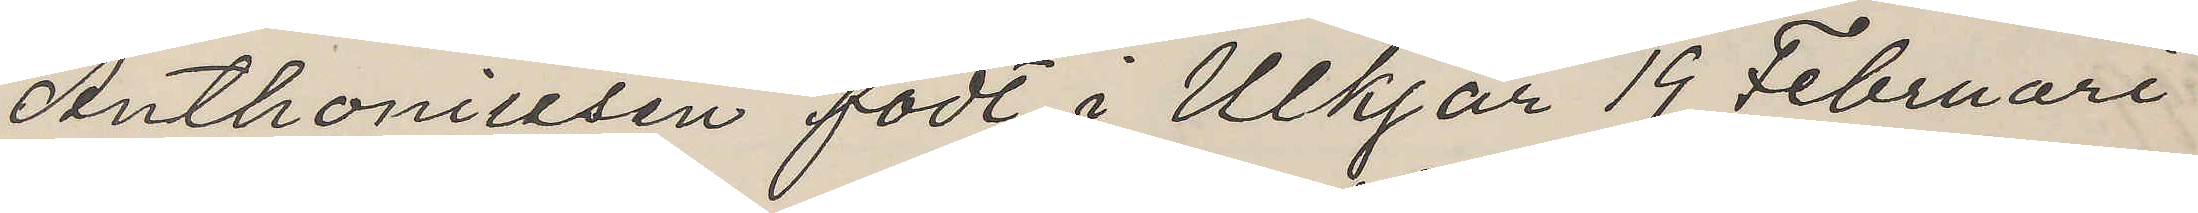Anthoniusen födt i Ulkjär 19 Februari
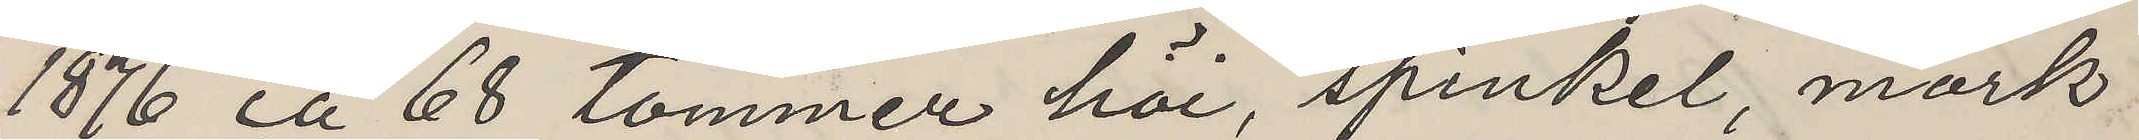1876 ca 68 tommer höi, spinkel, mörk¬
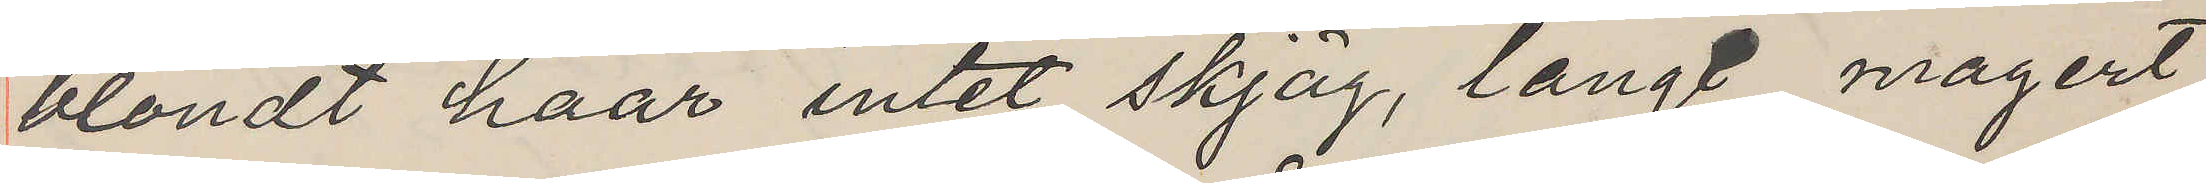blondt haar intet skjäg, langt magert
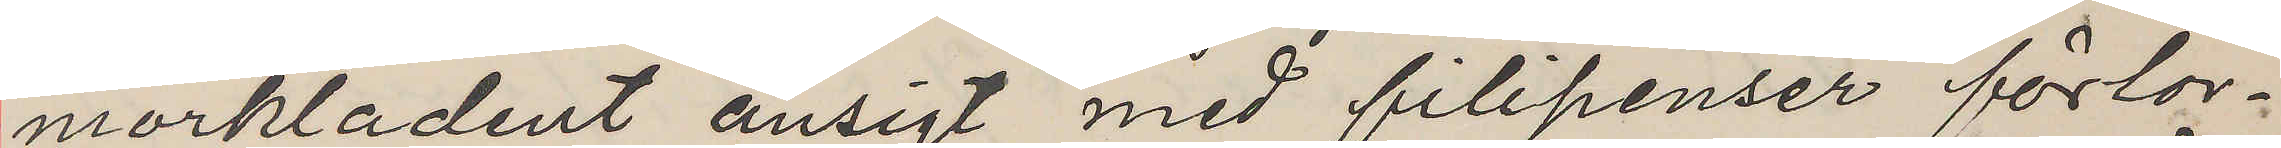mörkladent ansigt med filipenser förlor¬
